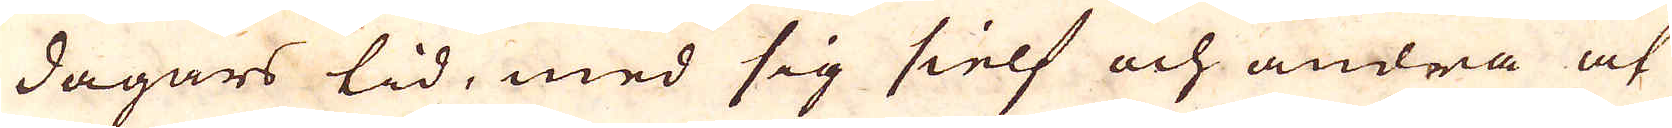dagars tid, med sig sielf och andra at
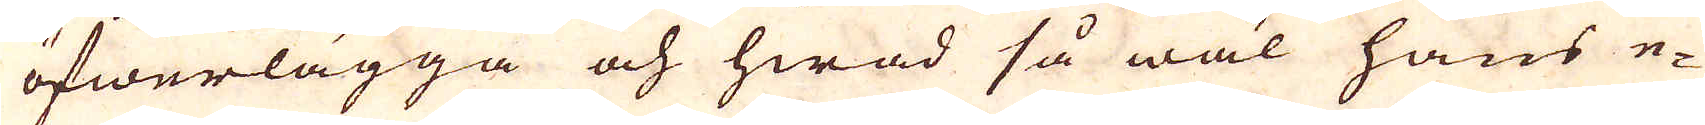öfwerlägga och hwad så wäl hans e-
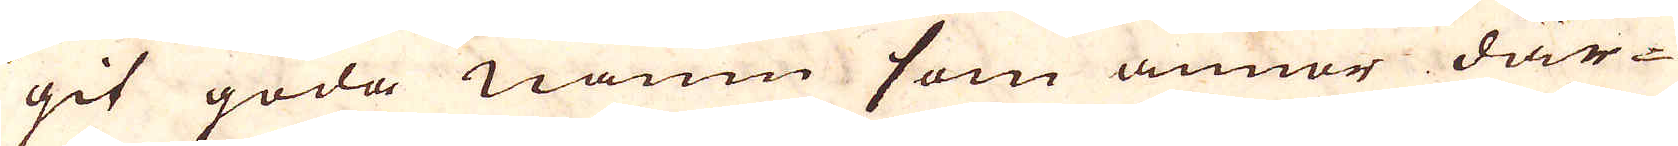git goda namn som annor där-
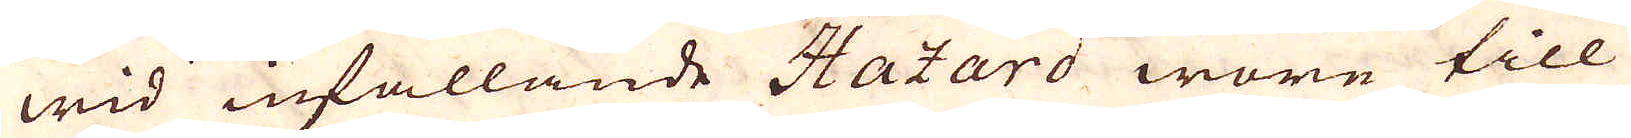wid infallande Hazard wore till
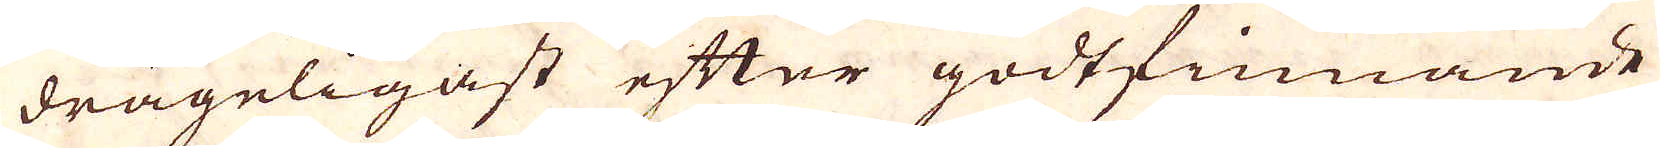drägeligast efter godtfinnande
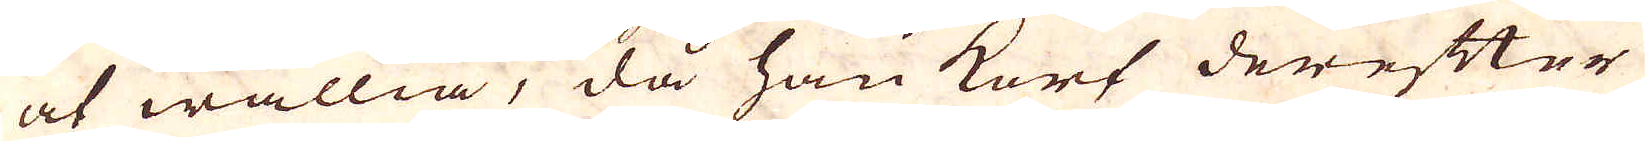at wällia, då han kort derefter
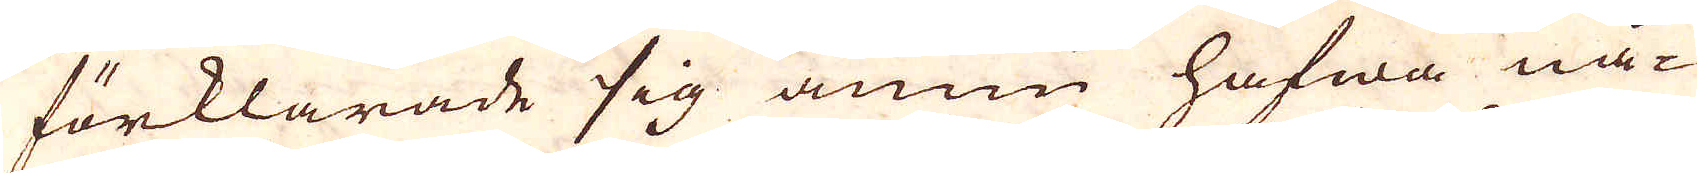förklarade sig ännu hafwa nå-
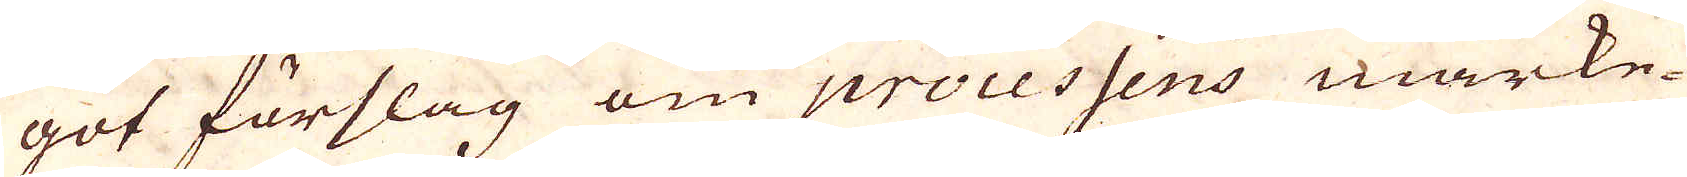got förslag om processens märke-
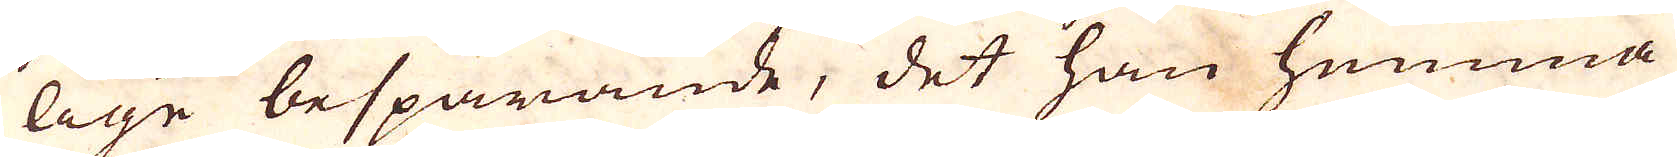lige besparande, det han hemma
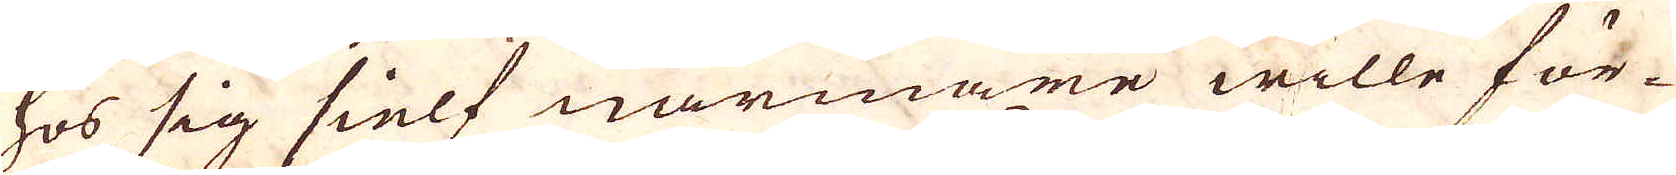hos sig sielf närmare wille för-
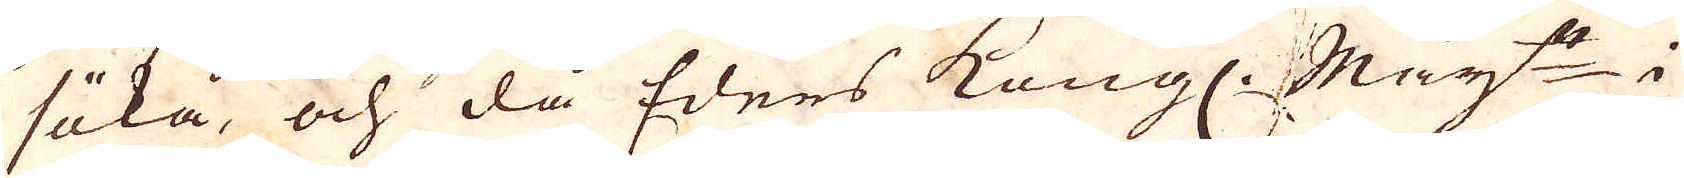söka, och då Eders Kongl. Maj:t i
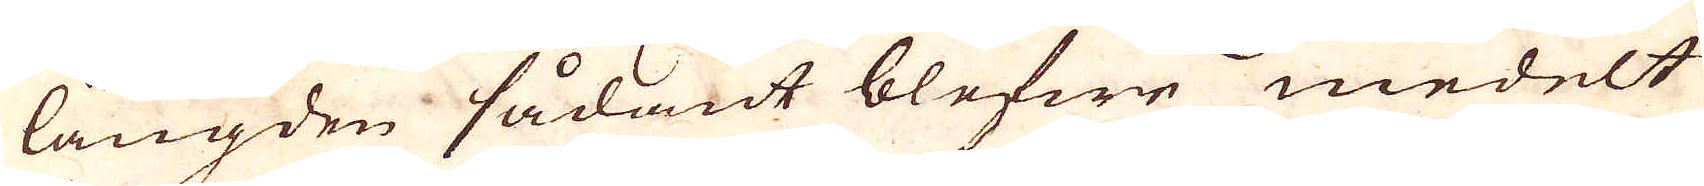längden sådant blefwe medelt
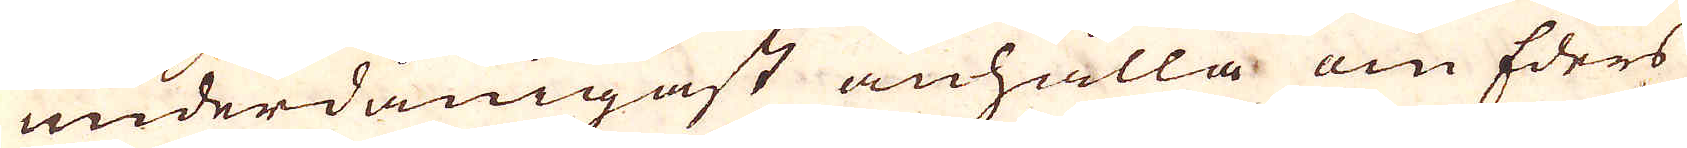underdånigast anhålla om Eders
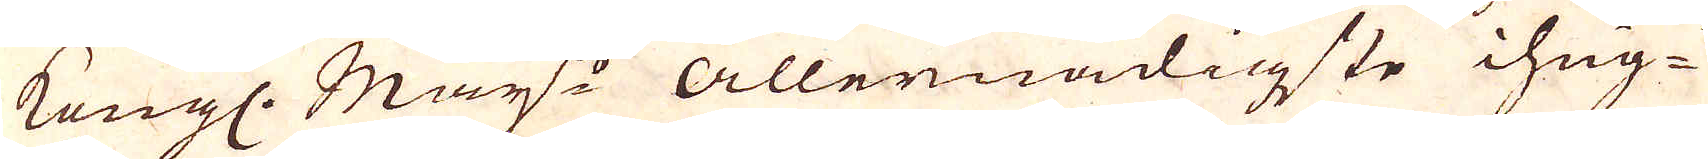Kongl. Maj:ts Allernådigste ihug-
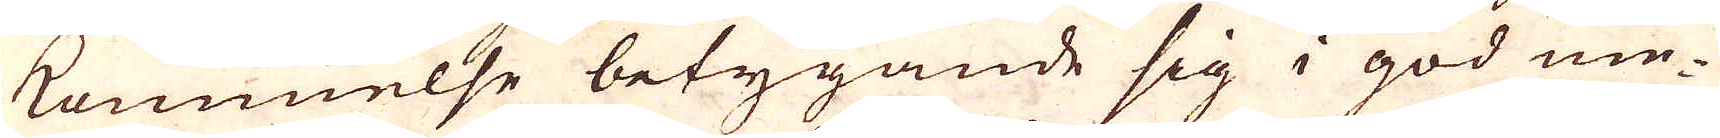kommelse betygande sig i god me-
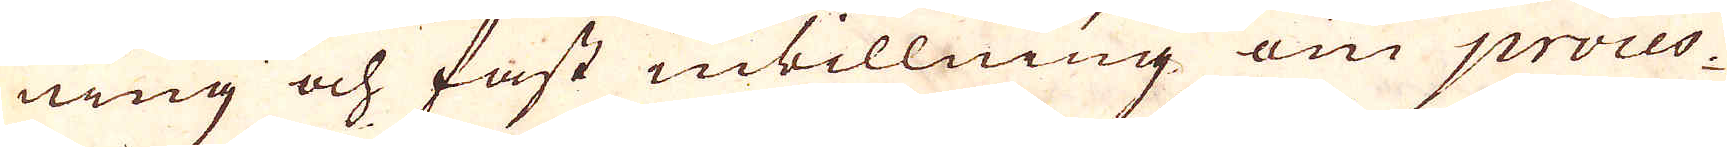ning och fast inbillning om proces-
